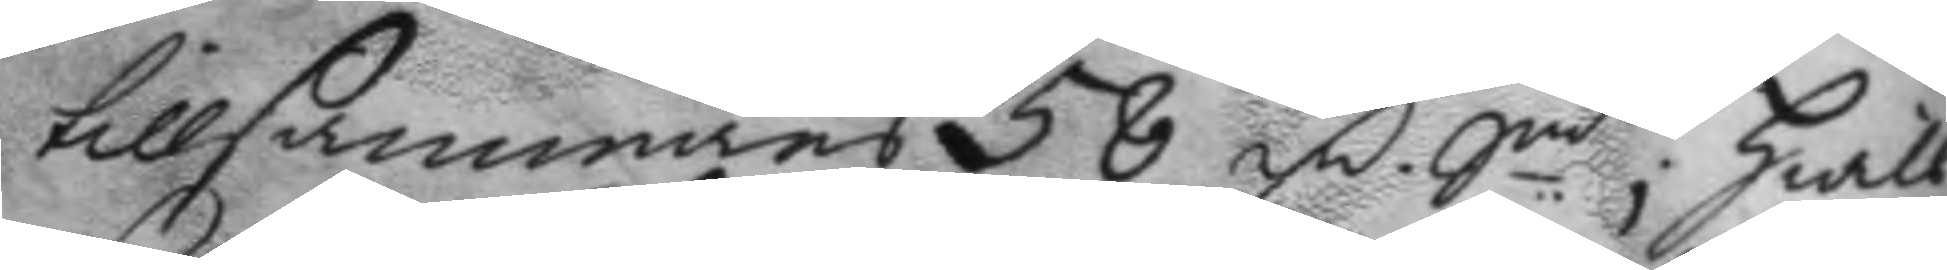tillsammans 58 fm. Sm.t; hwill¬
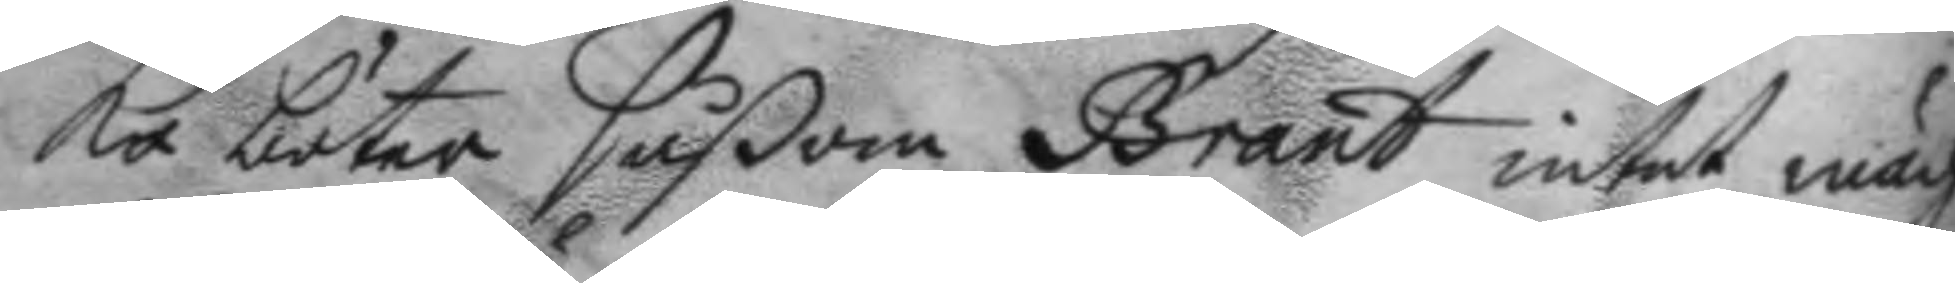ka böter såßom Brant intet mäch¬
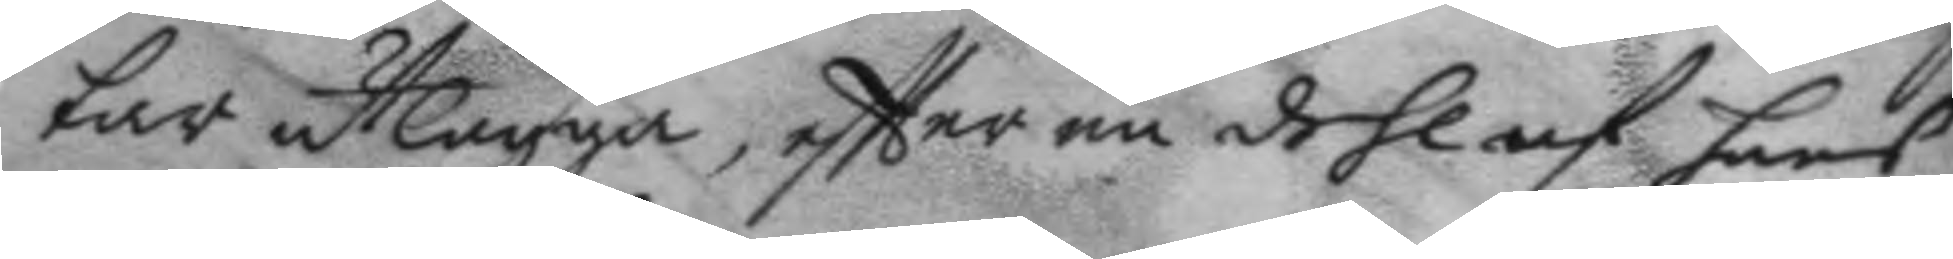tar utlägga, eftter en dehl af hans
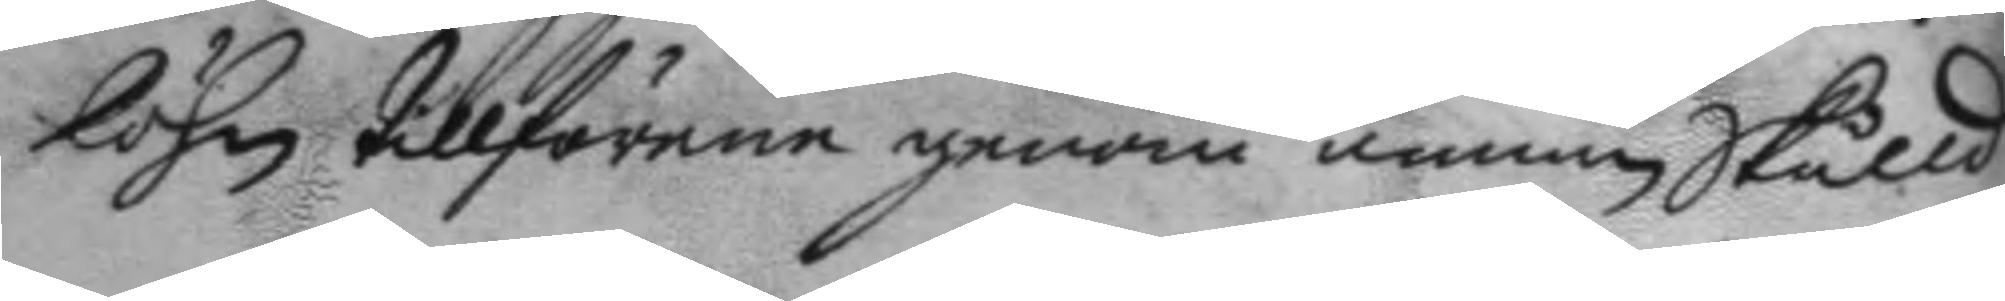löhn tillförene genom annan Skulld
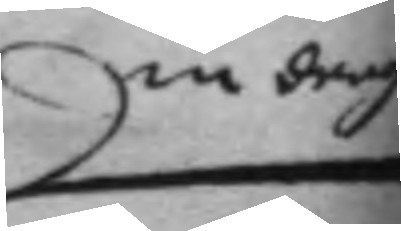in dragen
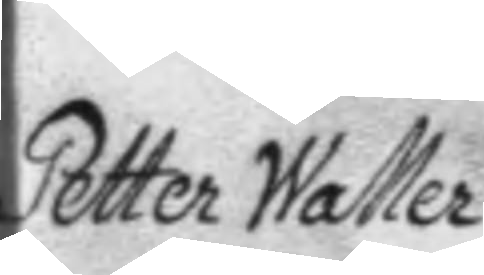Petter Waller
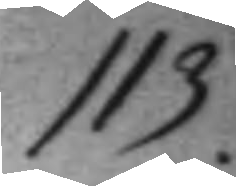113-
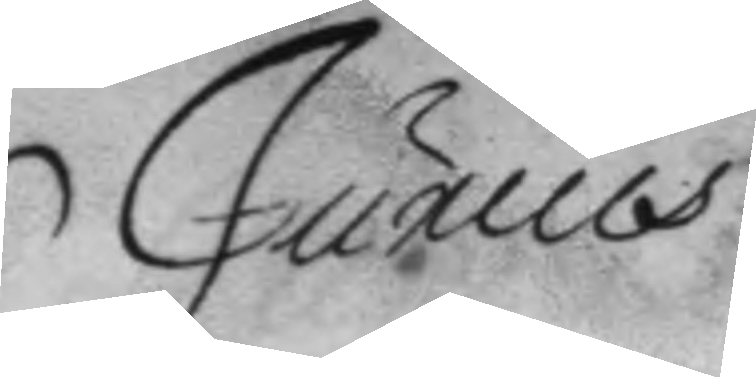Junius
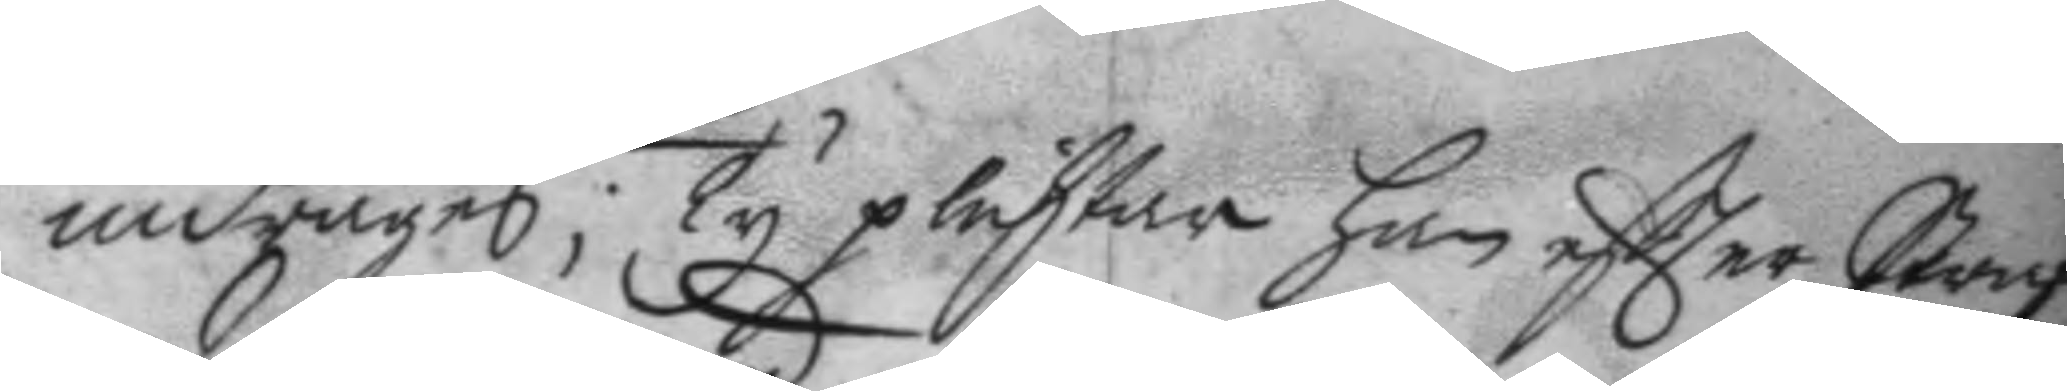indrages; Ty plichtar han eftter Straf¬
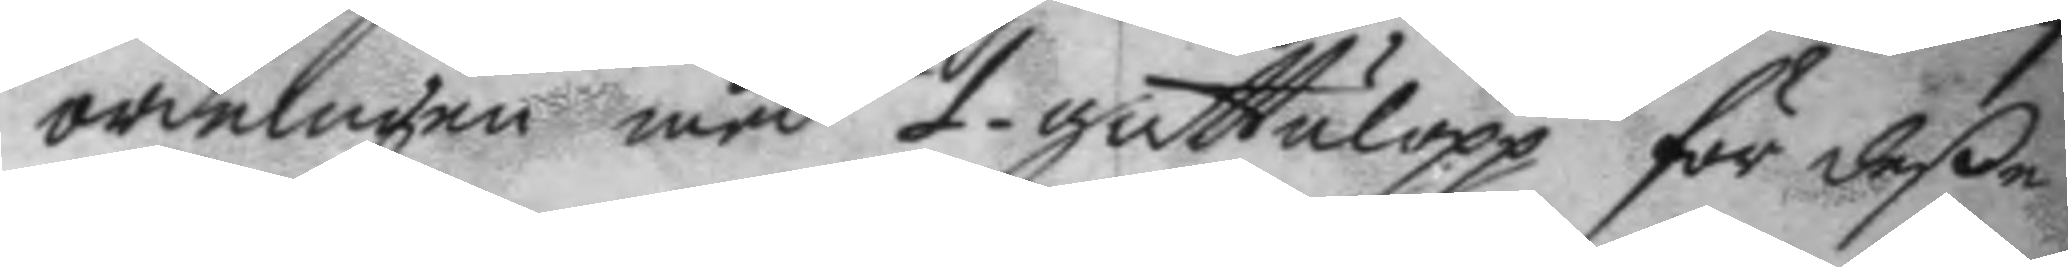ordningen med 1 gatulopp för deße
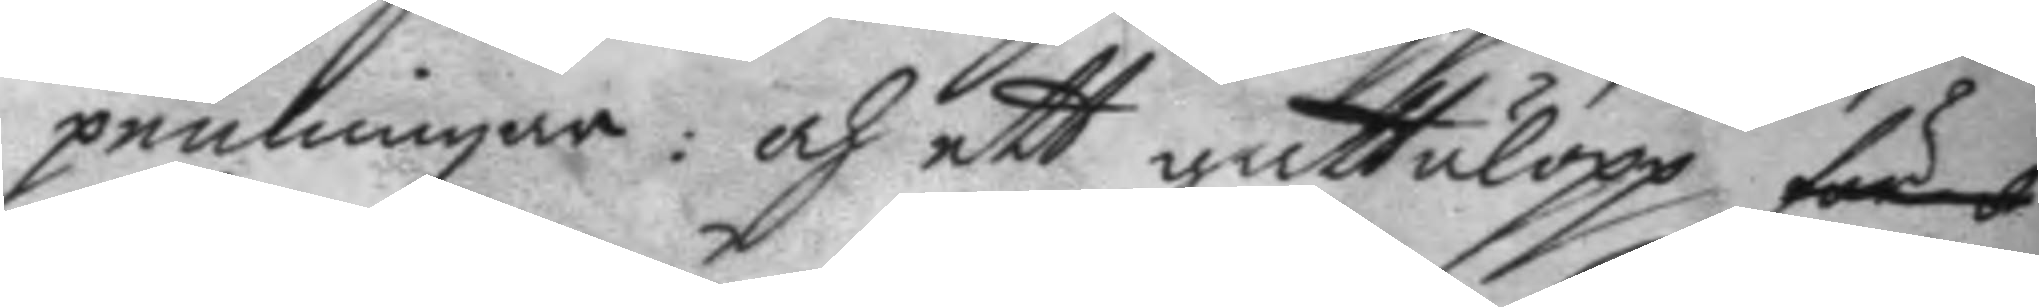penningar: och ett gattulopp för
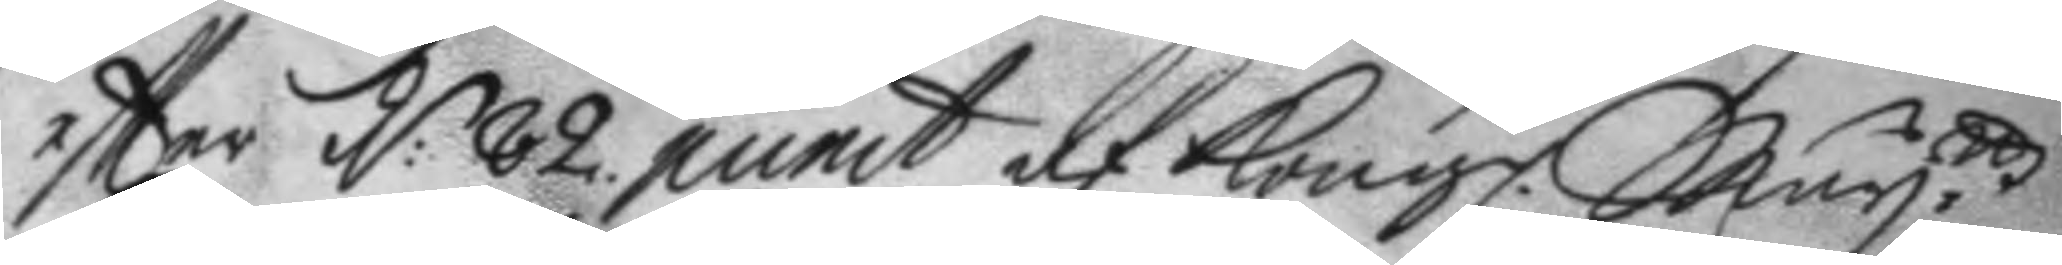eftter d: 82. punct af Kongl. May.ttz
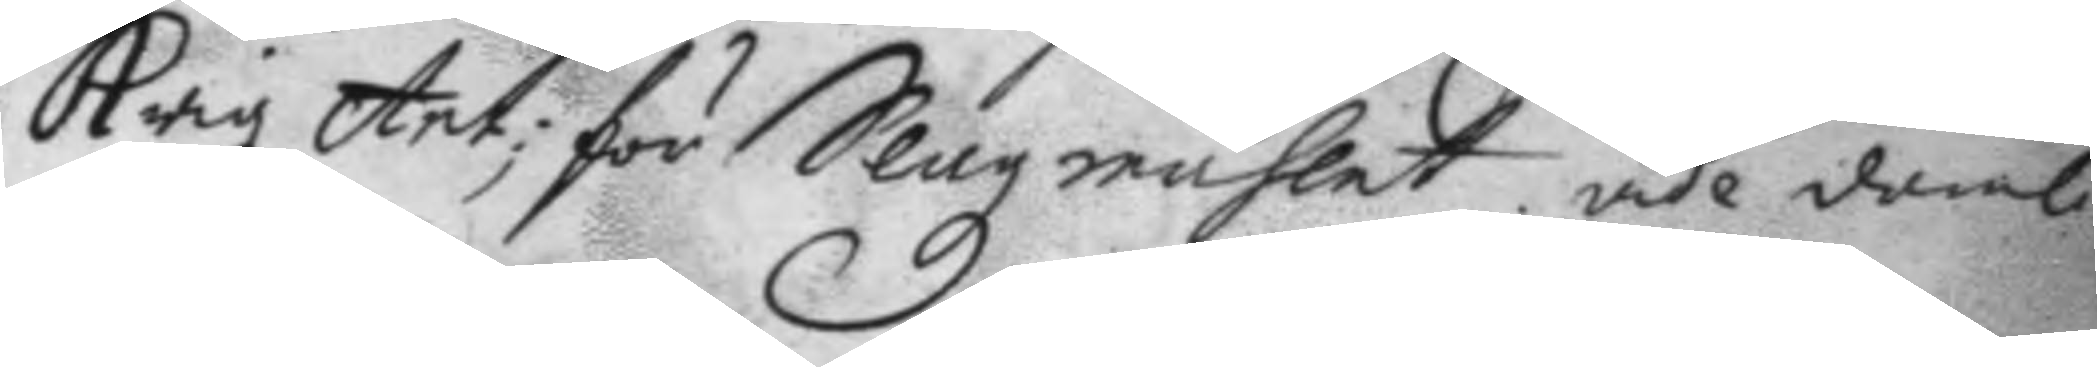Krigz Art; för Slagzmåhlet. vide domb.
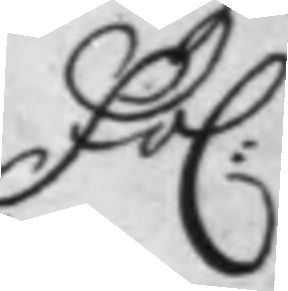Fol:
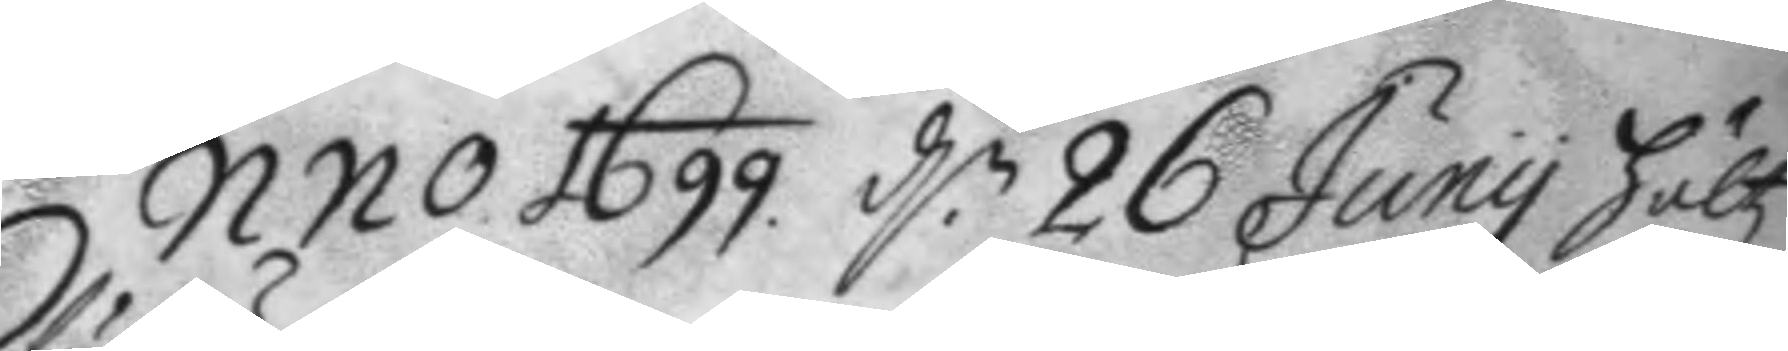Anno 1699. d.n 26 Juny höltz
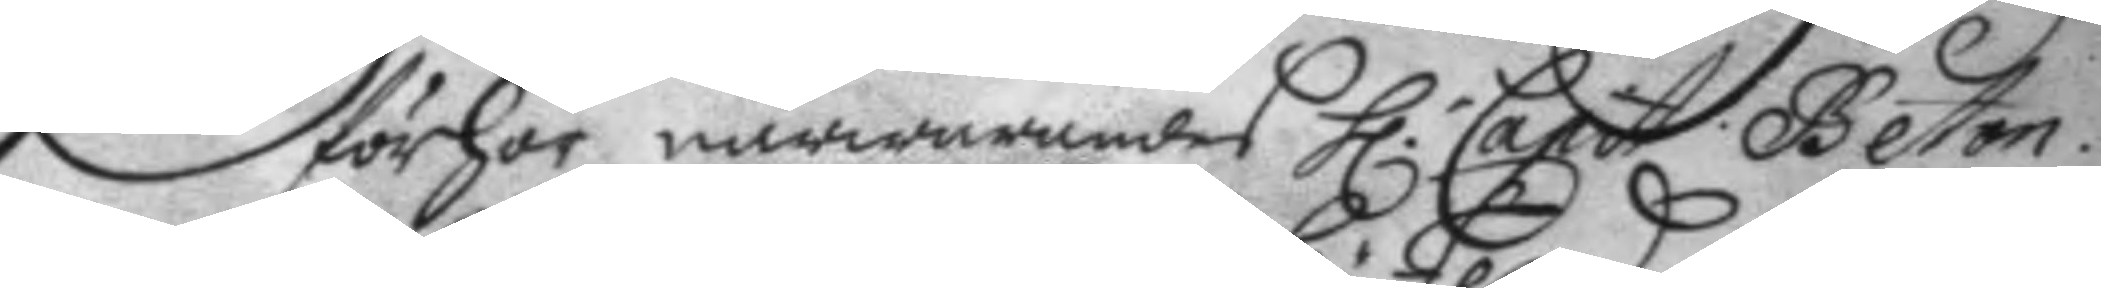förhör närwarandes h.r Capit. Beton.
